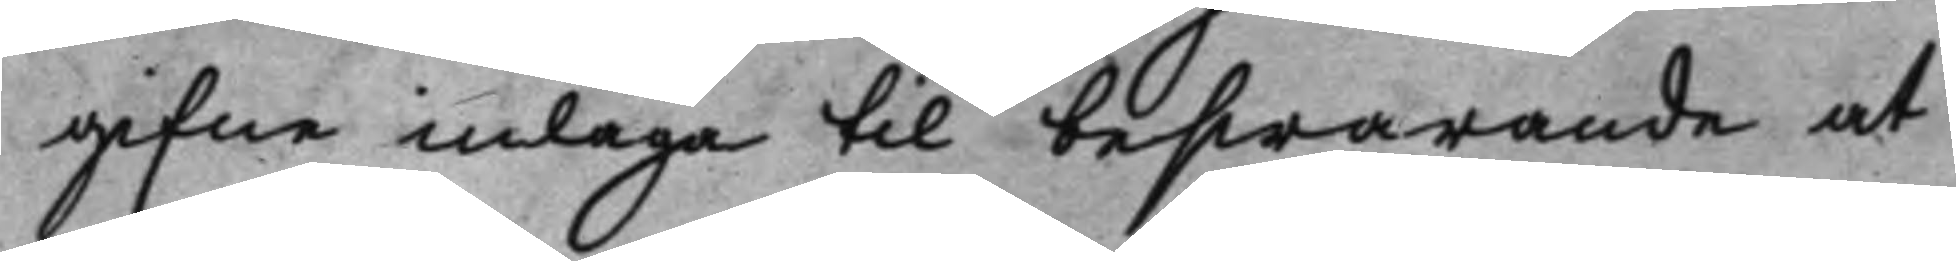gifne inlaga til beswarande at
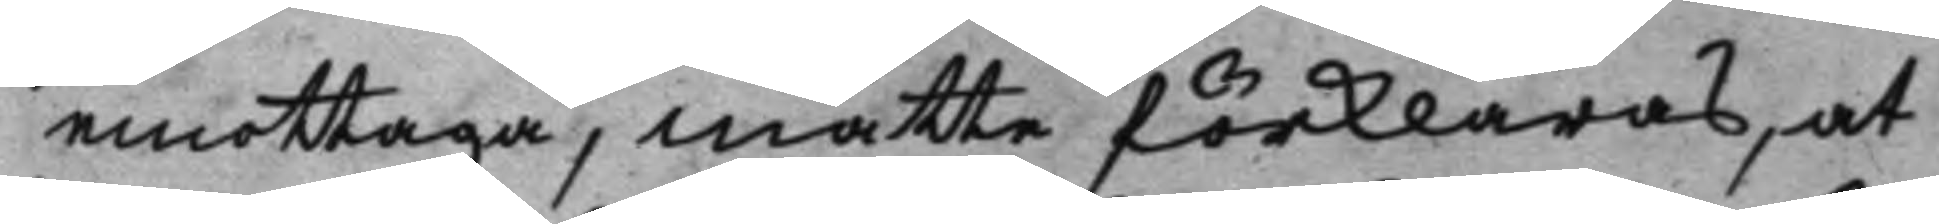emottaga, måtte förklaras, at
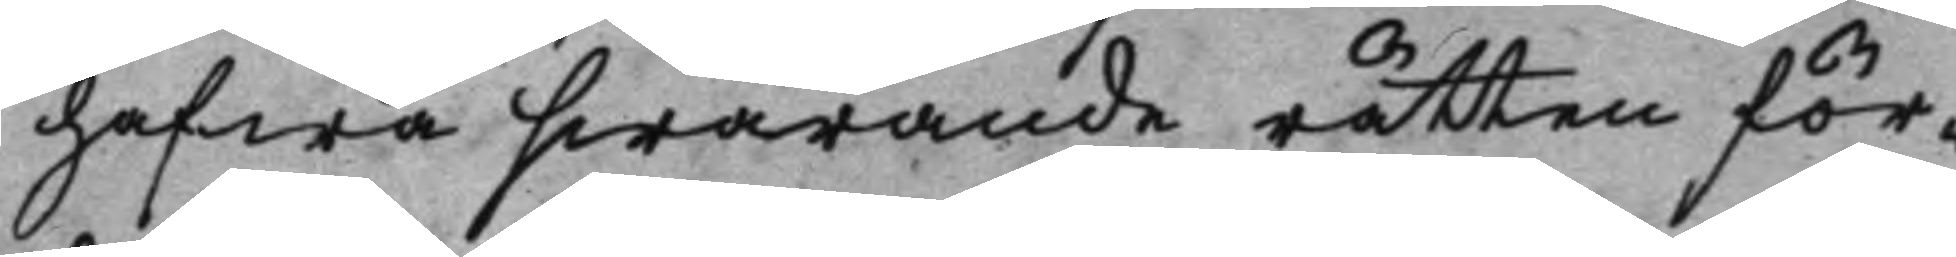hafwa swarande rätten för¬
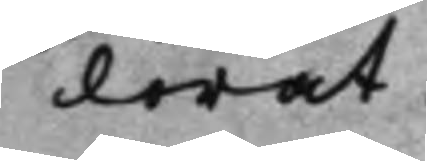lorat.
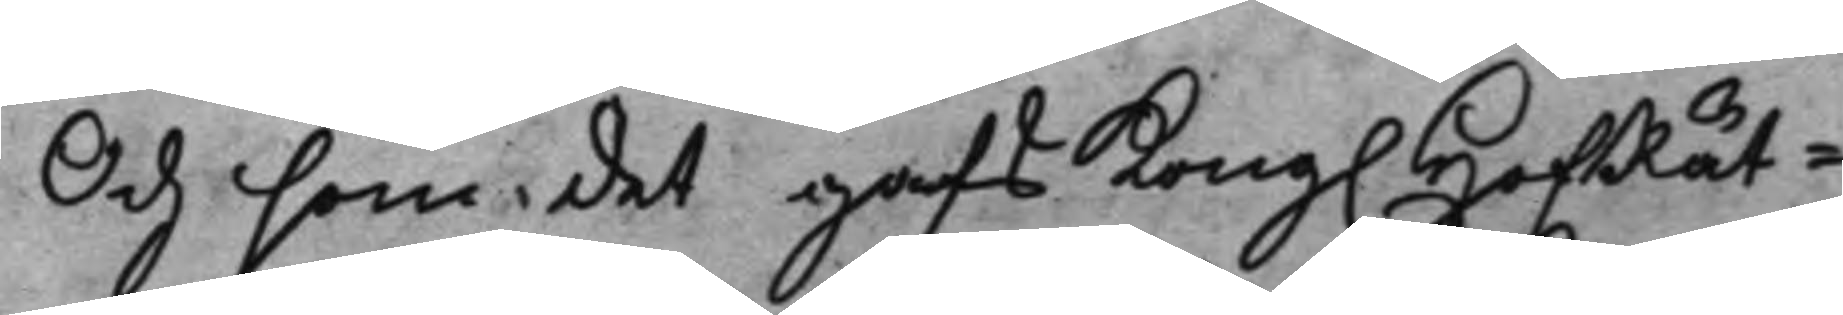Och som det gafs Kong. HofRät¬
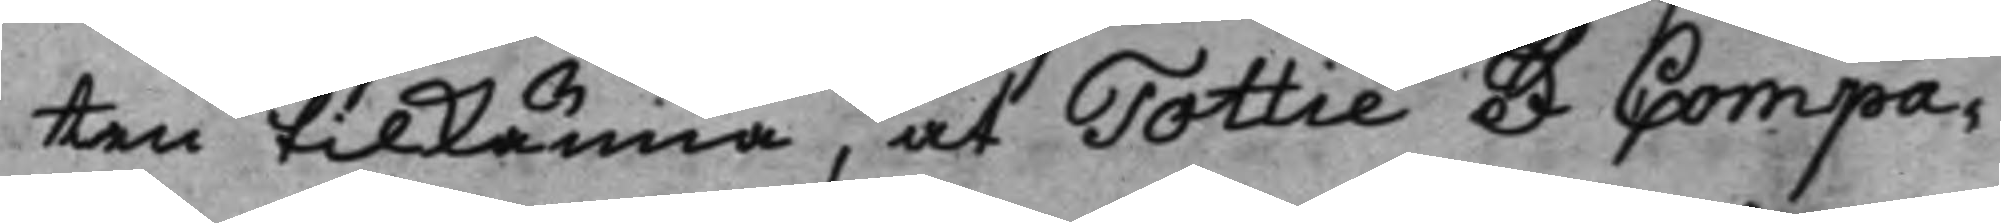ten tilkänna, at Tottie et Compa¬
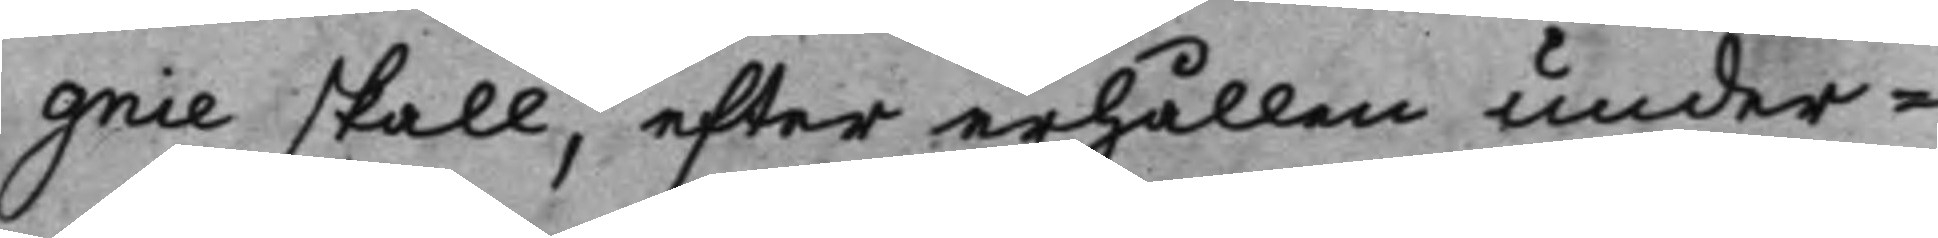gnie skall, efter erhållen under¬
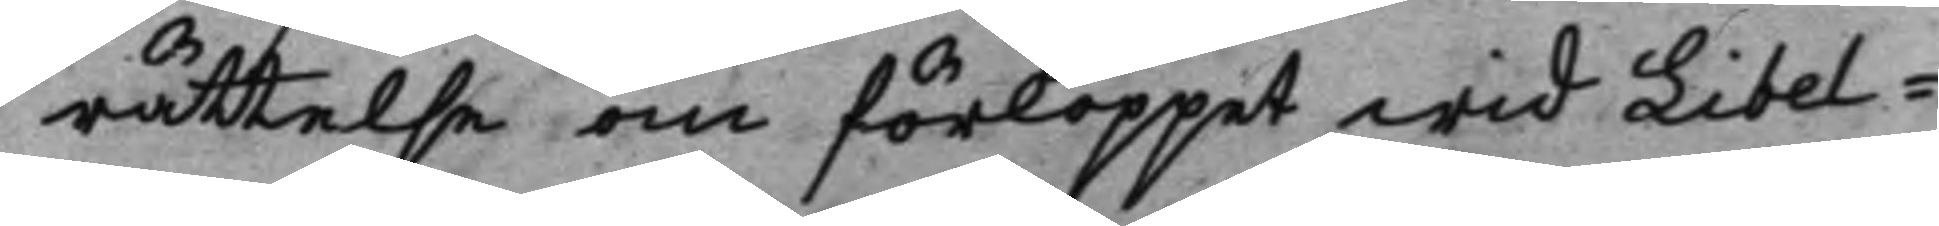rättelse om förloppet wid Libel¬
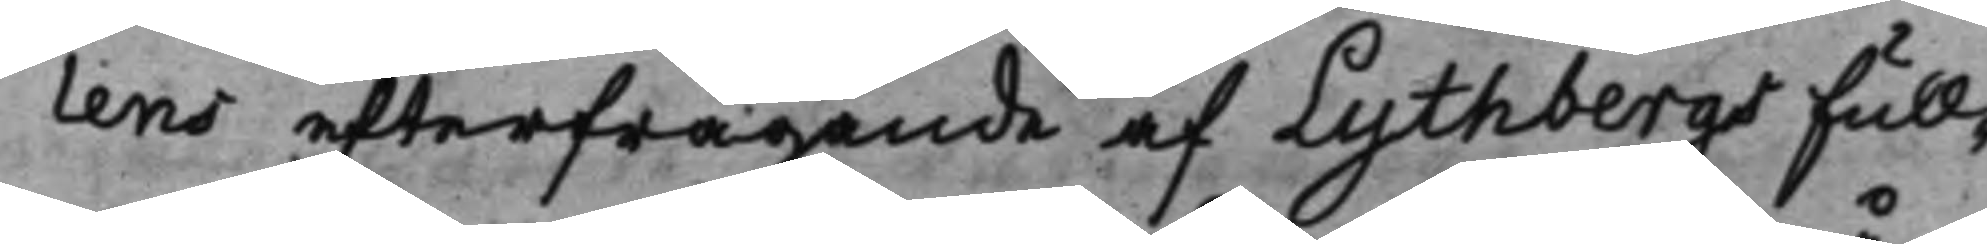lens efterfrågande af Lythbergs Full¬
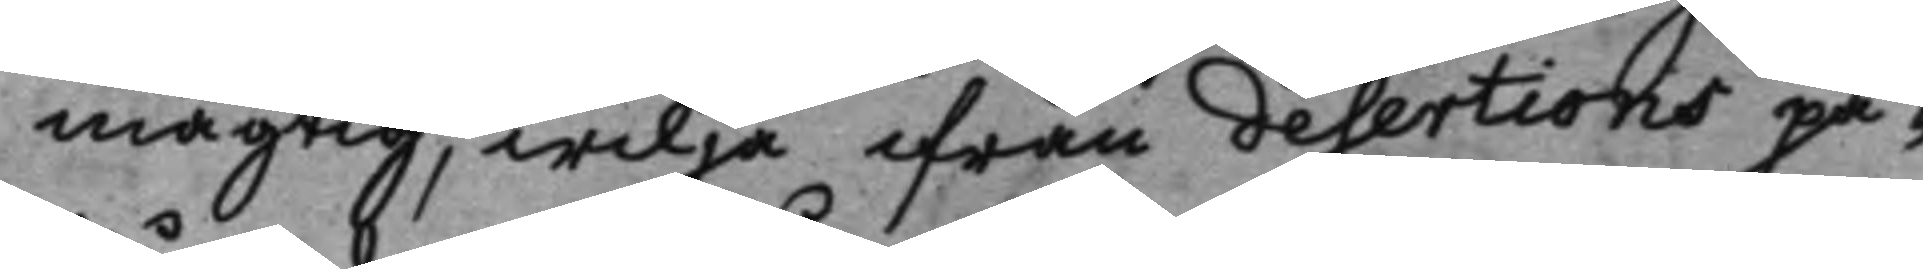mägtig, wilja ifrån desertions på¬
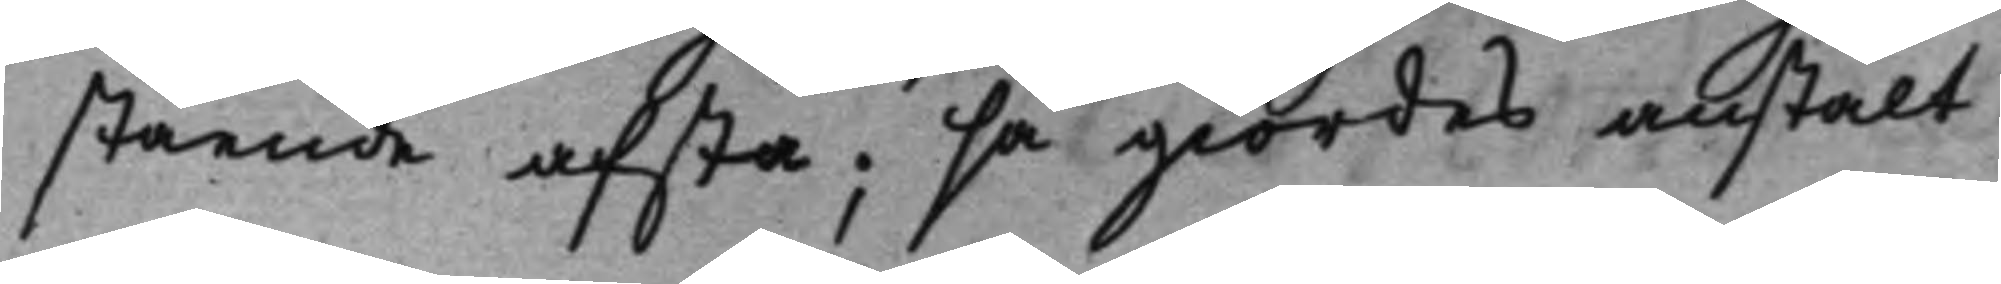stående afstå; så giordes anstalt
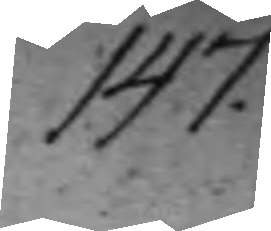147.
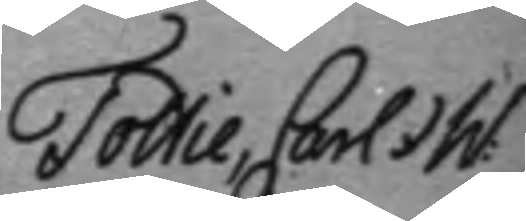Tottie, Carl et W:
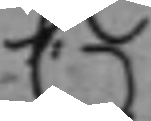C:
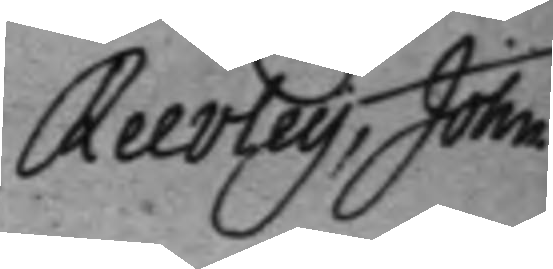Reevley, John.
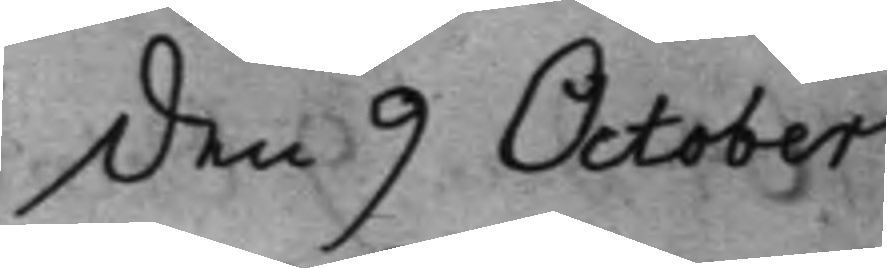den 9 October
